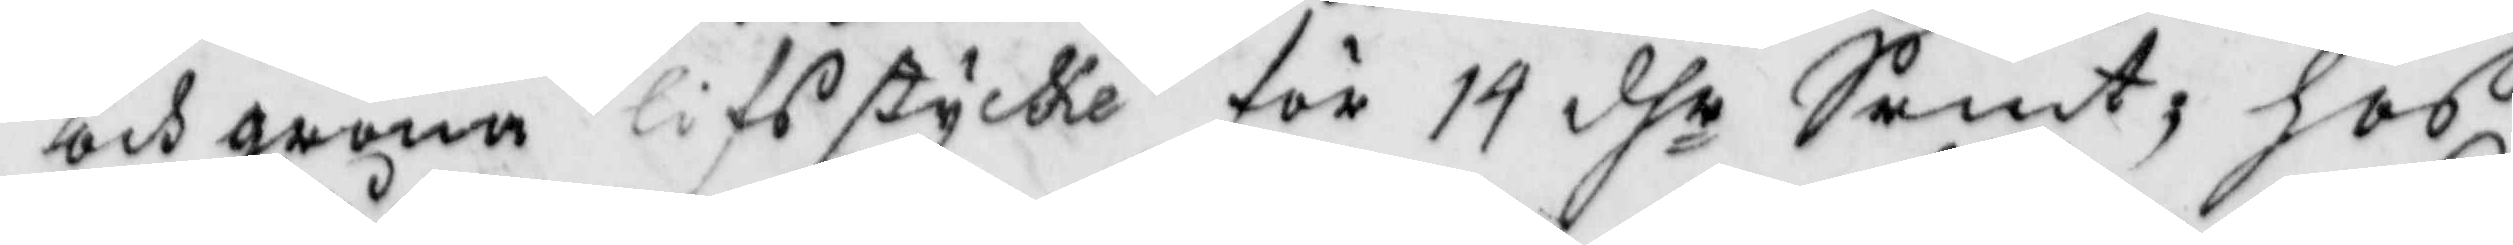och gröna lifsstycke för 14 dhr Srmt, hos
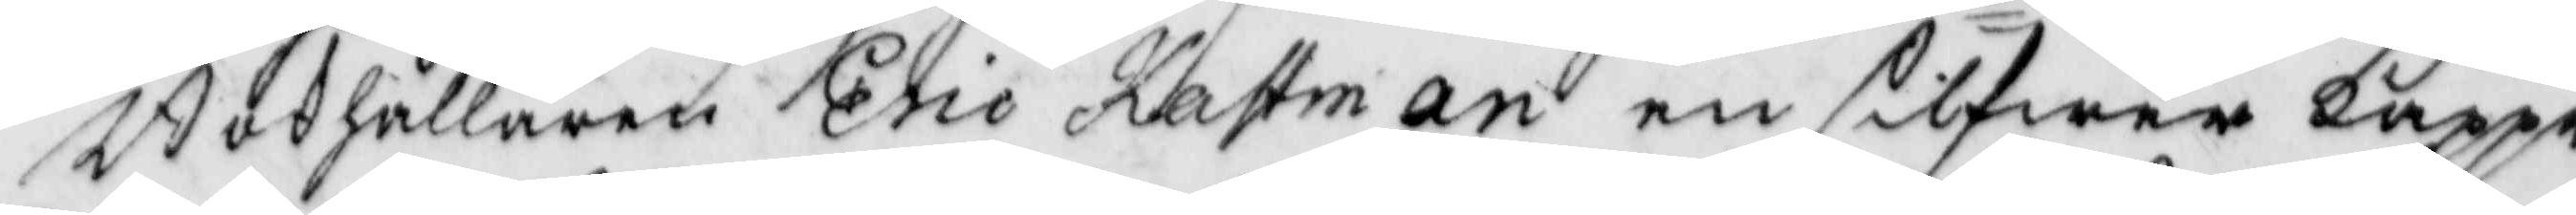Bokhållaren eric kastman en silfwer kappe
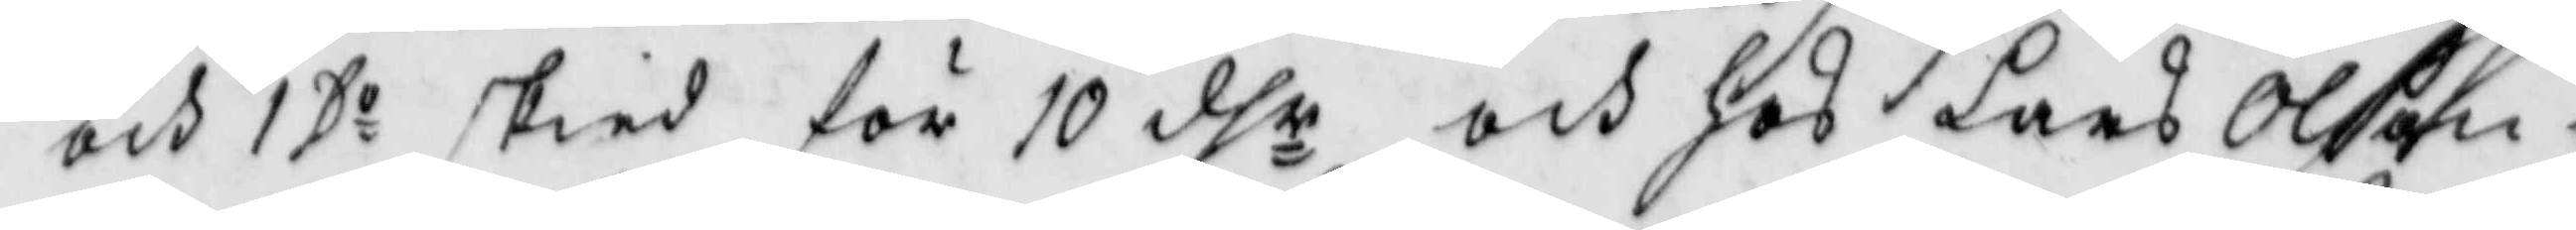och 1 Do skied för 10 dhr och hos Lars Olson i
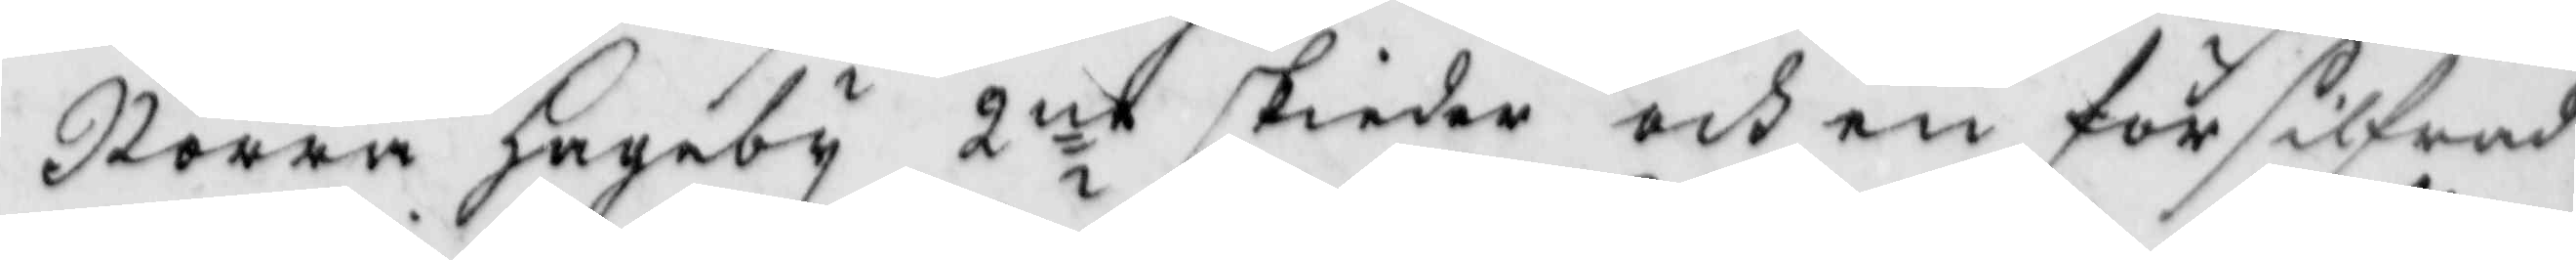Norra hageby 2ne skiedar och en försilfrad
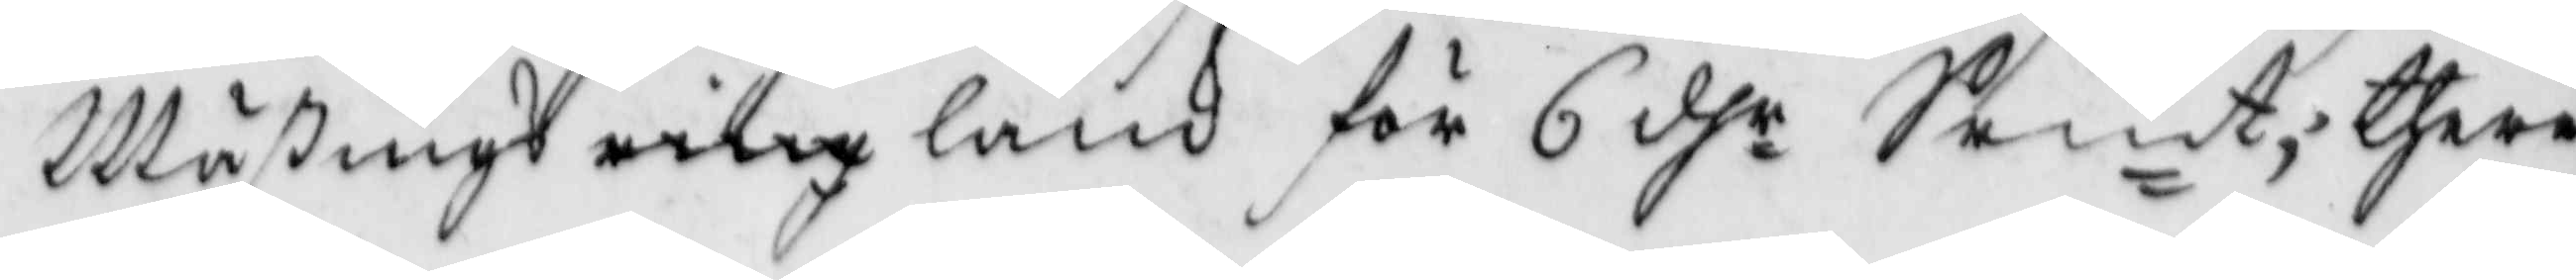Mäßings ring länk för 6 dhr Srmt; there¬
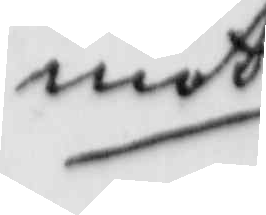mot
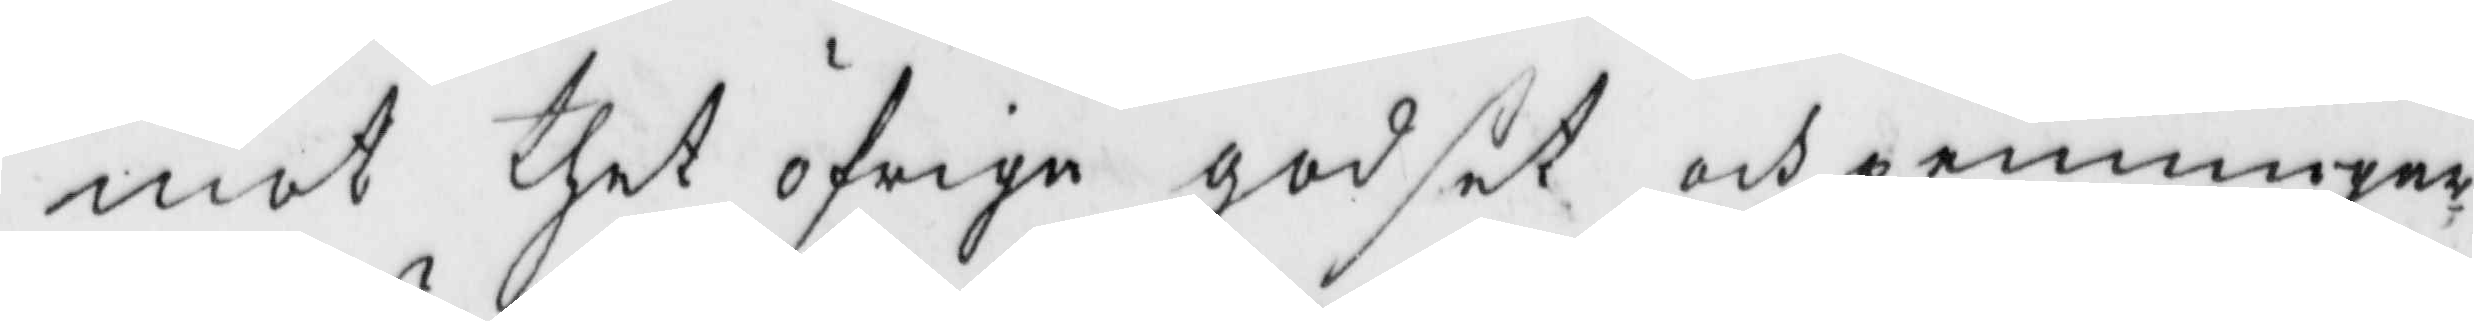mot thet öfrige godset och penningar¬
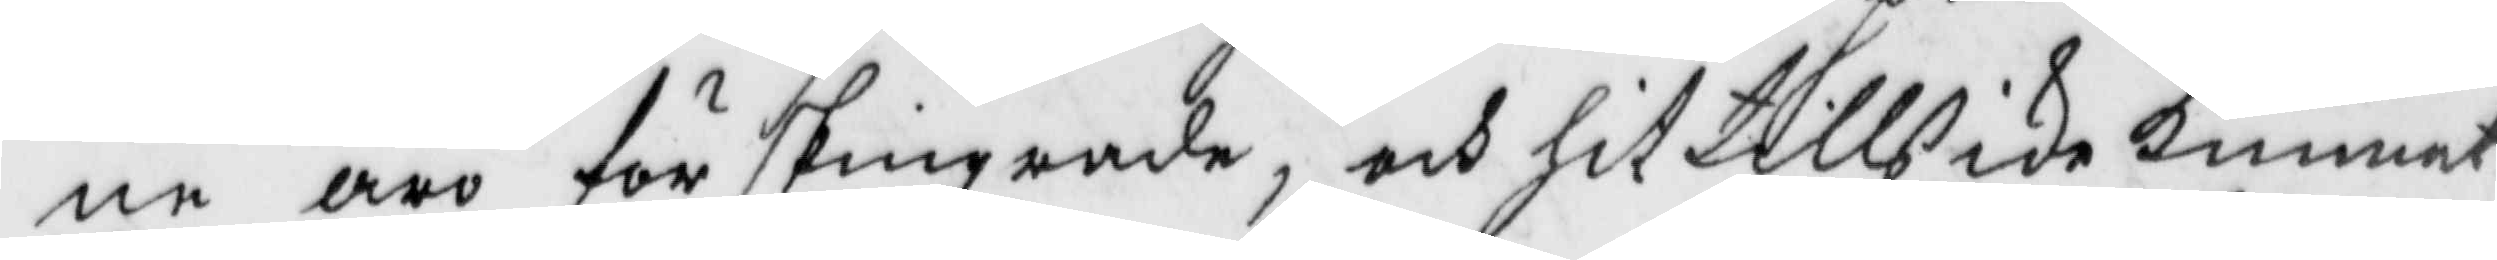ne äro förskingrade, och hittills ike kunnat
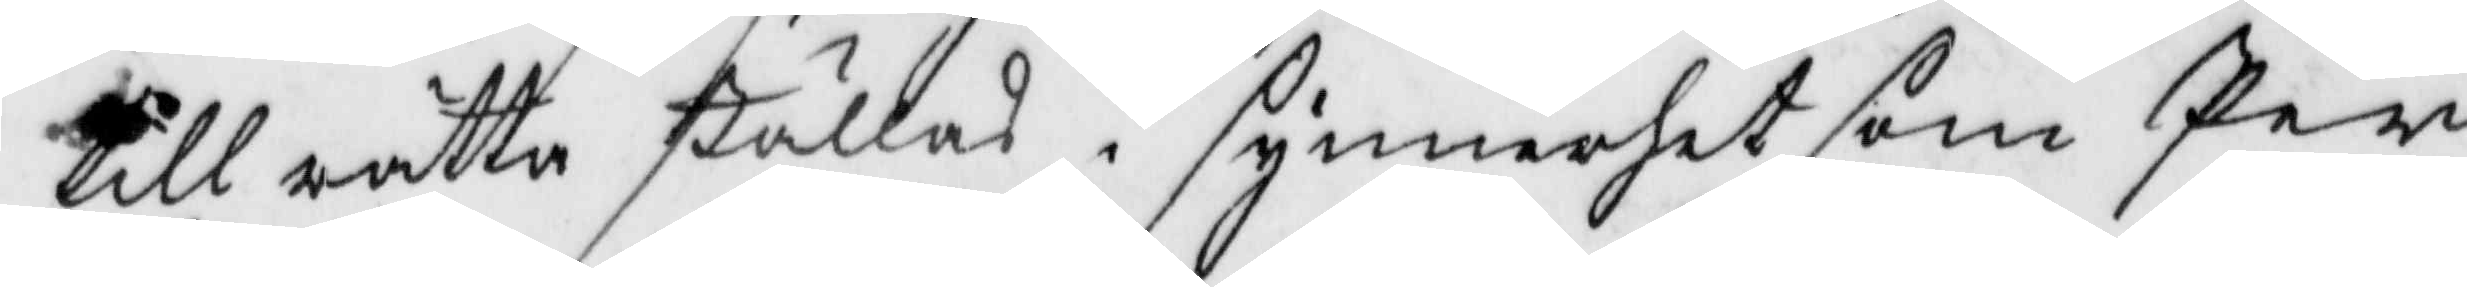till rätta ställas i synnerhet som Per
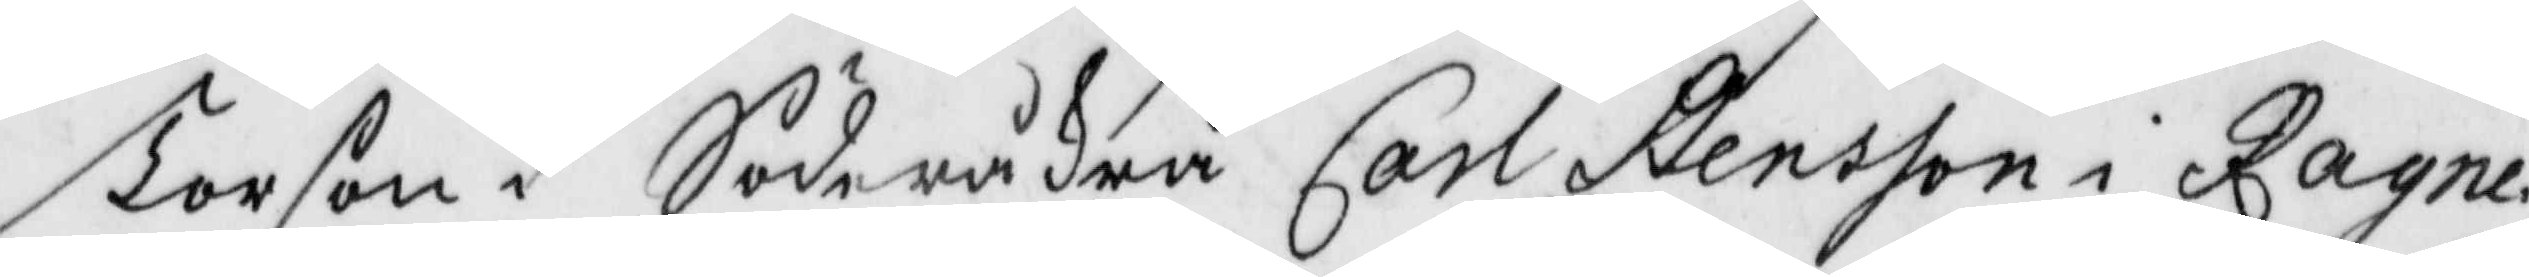Torson i Söderåkra Carl Stensson i Ragne¬
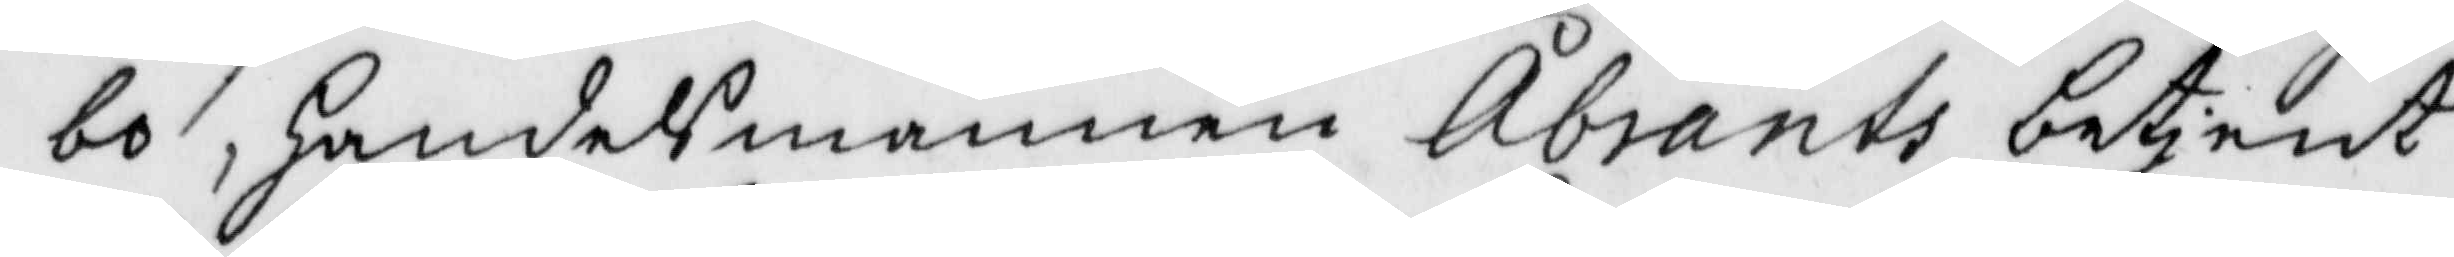bo, handelsmannen Åbrants betjent
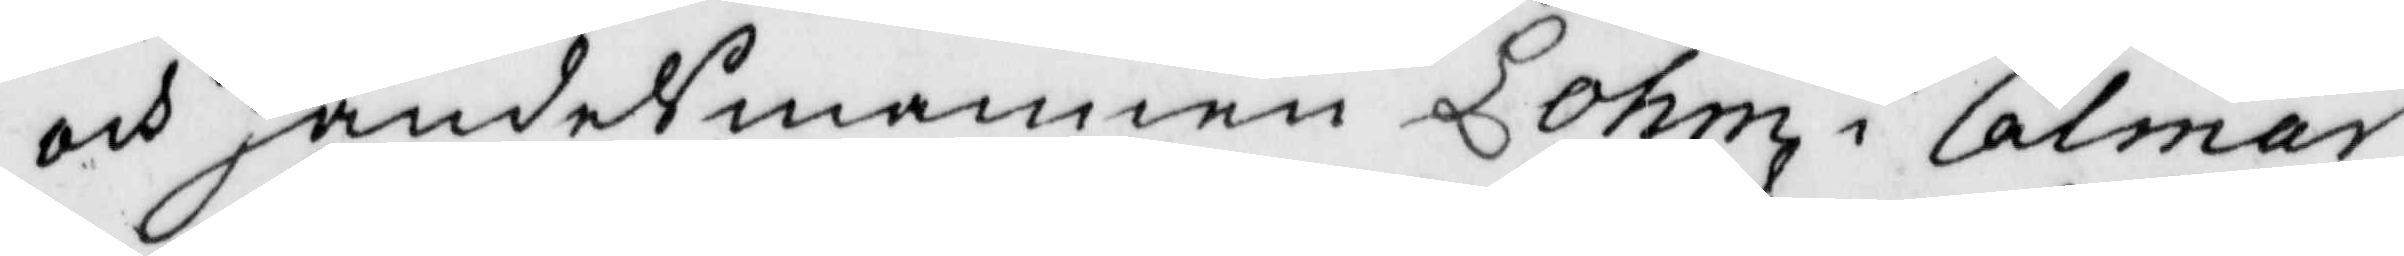och handelsmannen Lohm i Calmar
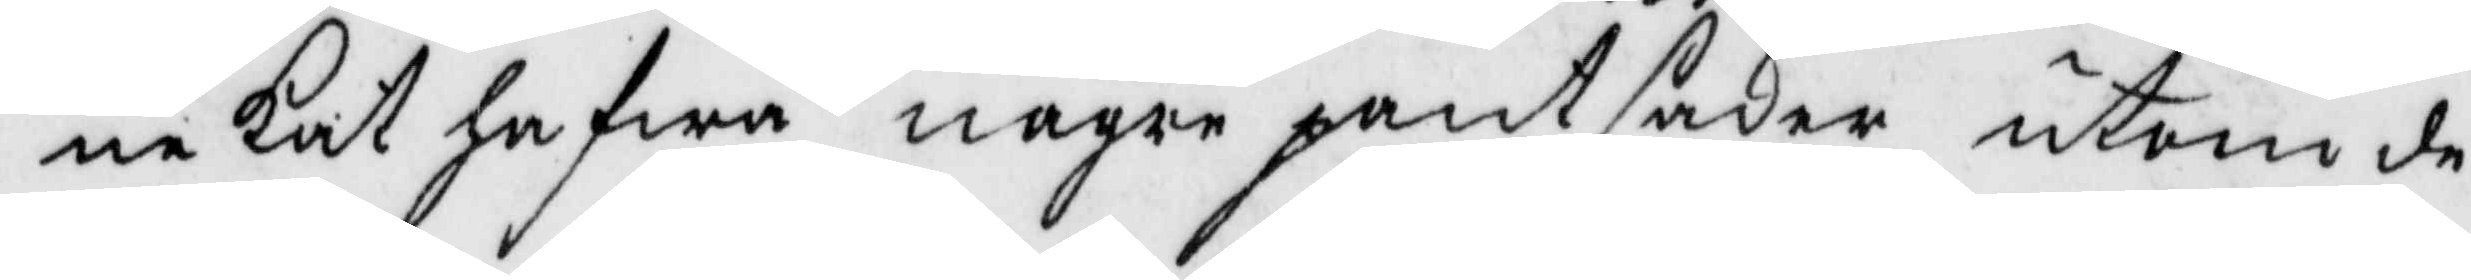nekat hafwa någre pantsaker utom de
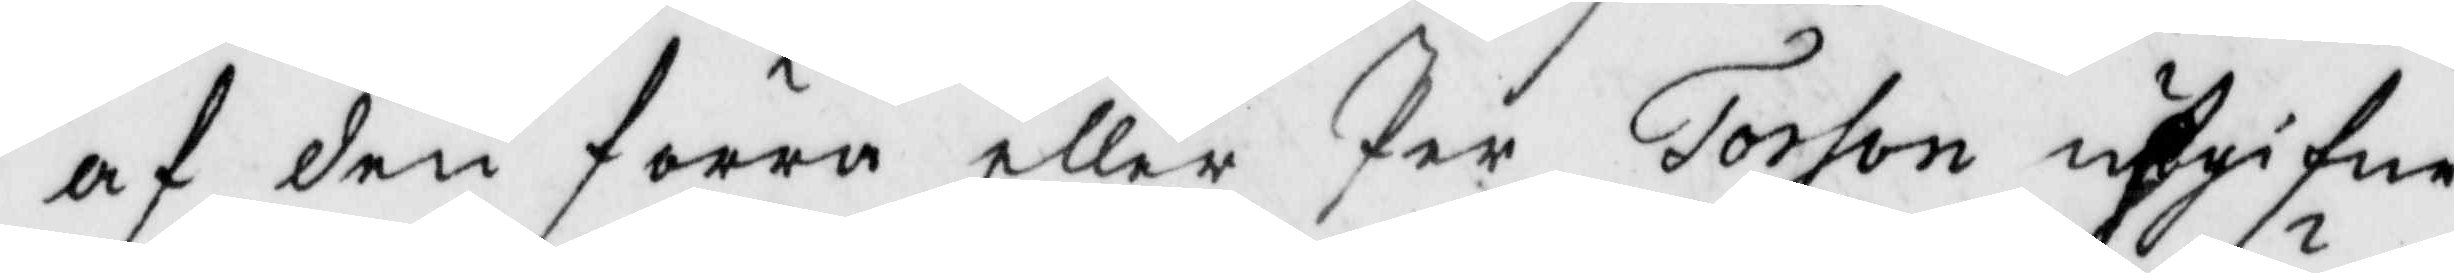af den förra eller Per Torson upgifna
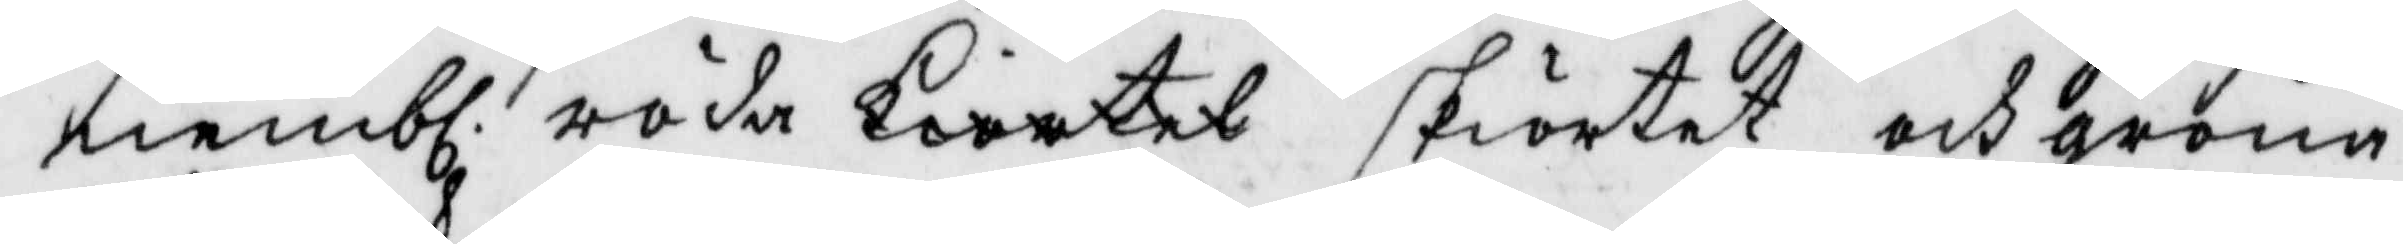nembl. röda kiortel skörtet och gröna
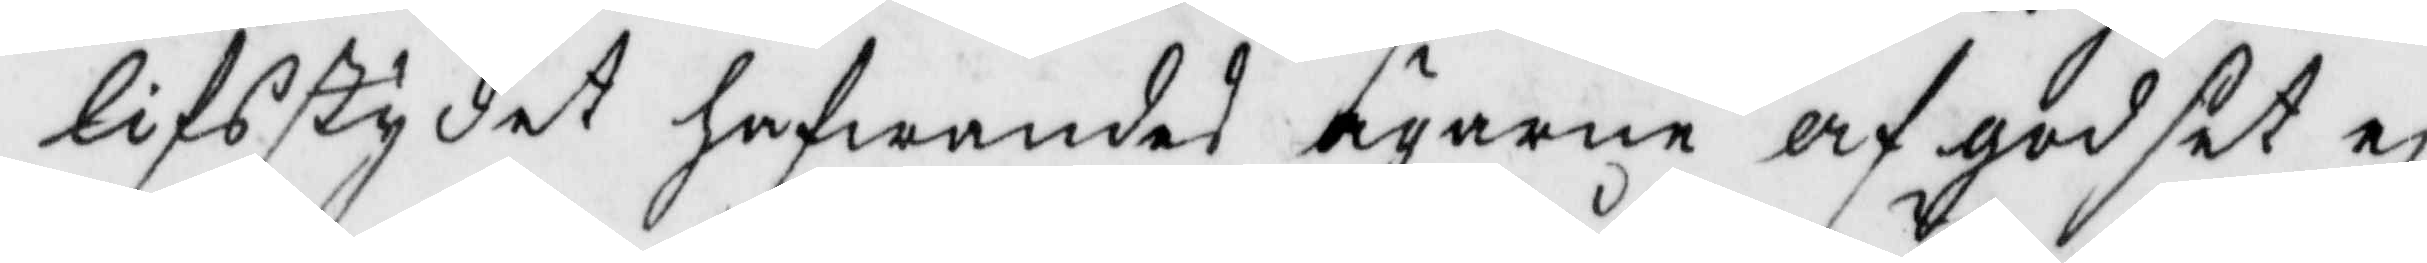lifstykt hafwandes ägarne af godset ej
